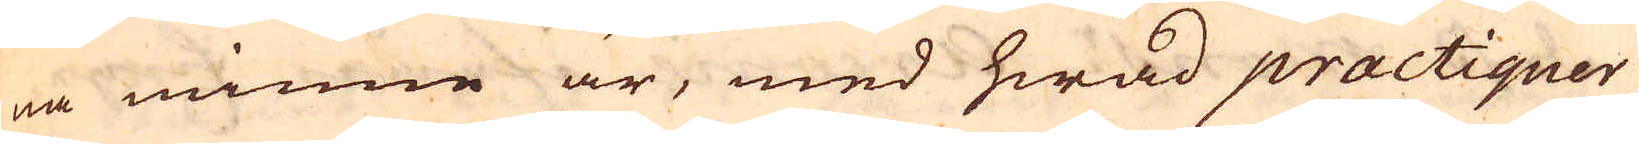na minne är, med hwad practiquer
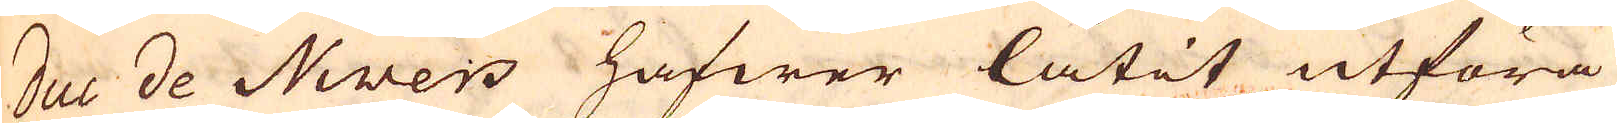duc de Nivers hafwer låtit utföra
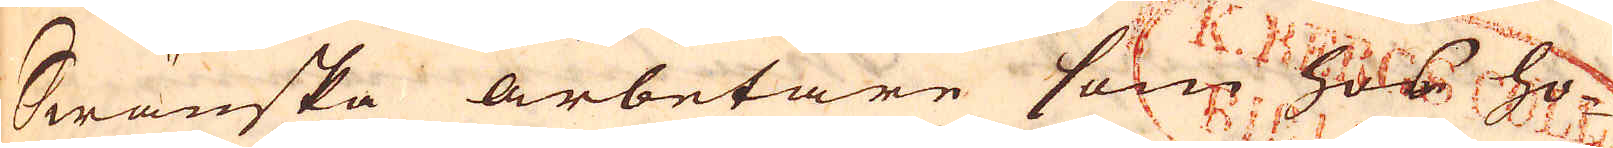Swänska arbetare som hos ho-
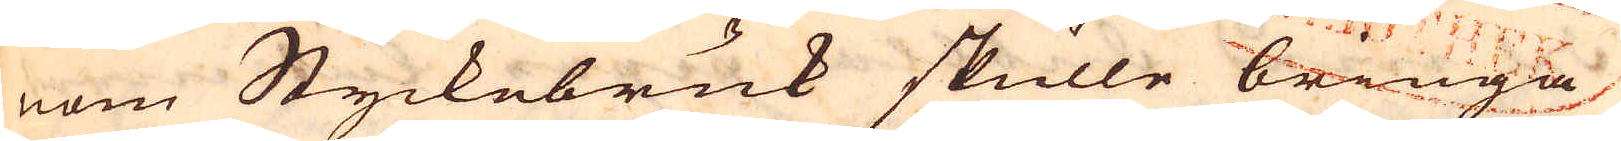nom Styckebruk skulle bringa
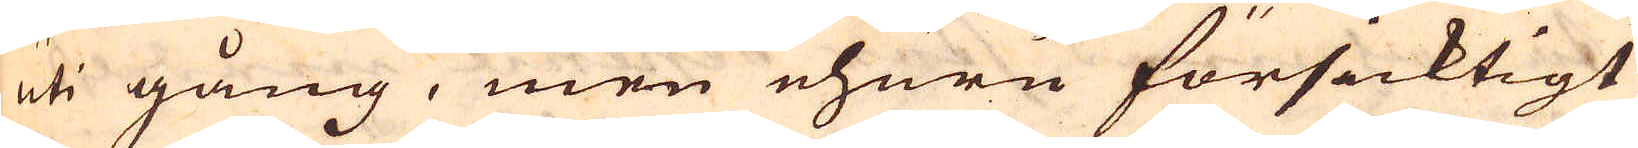uti gång, men ehuru försicktigt
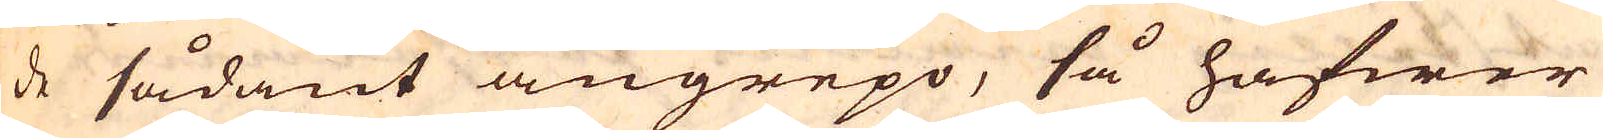de sådant angrepo, så hafwer
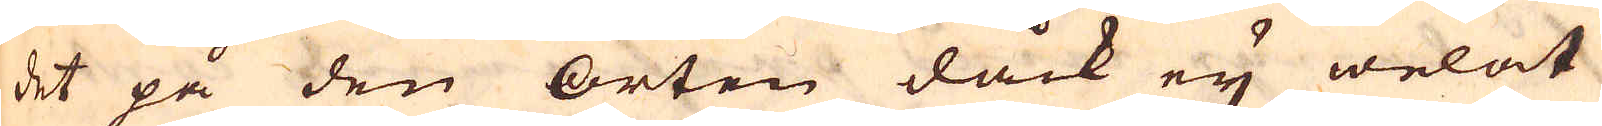det på den orten dåck ey welat
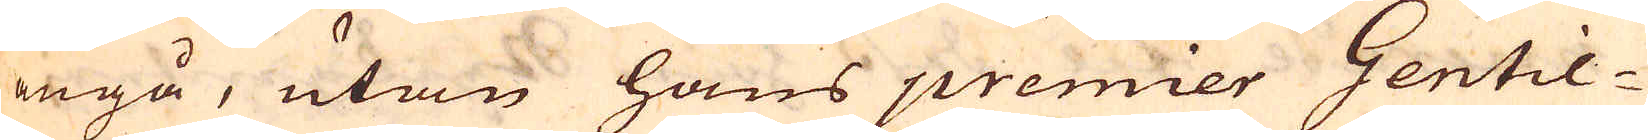angå, utan hans premier Gentil-
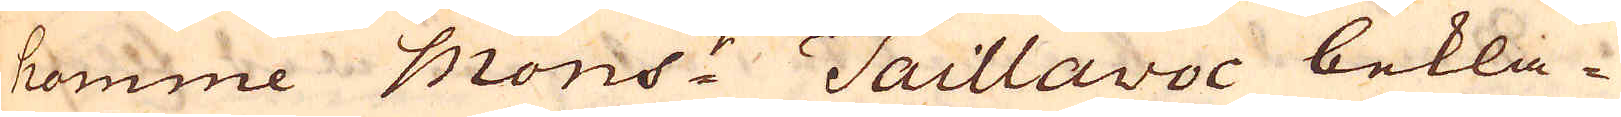homme Mons:r Taillavoc bekla-
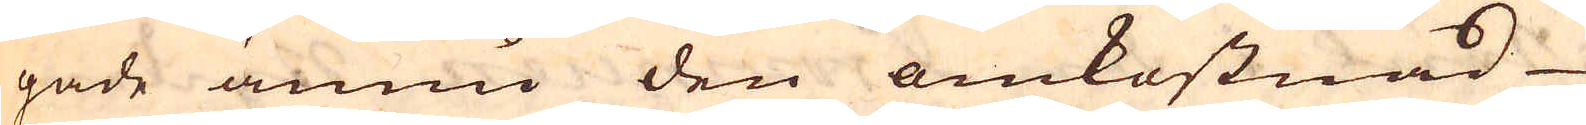gade ännu den omkostnad
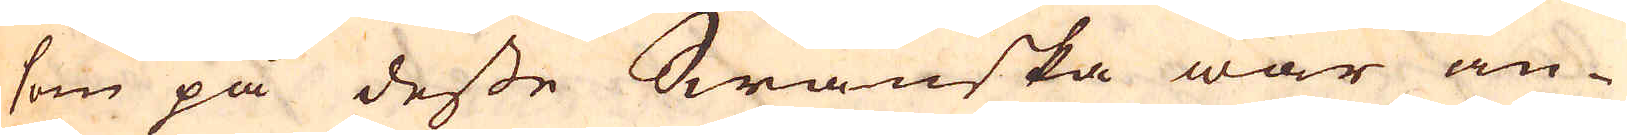som på desse Swänska war an-
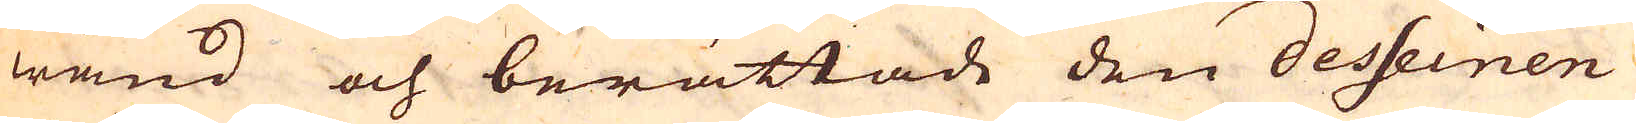wänd och berättade den desseinen
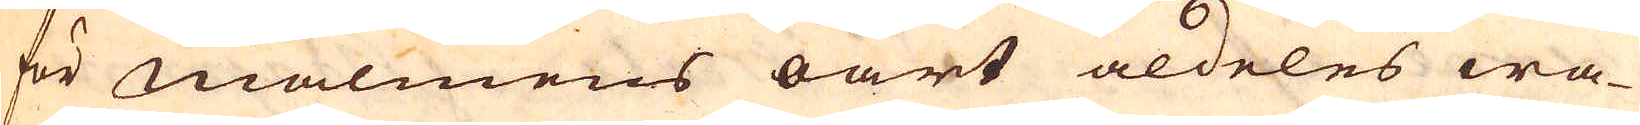för malmens oart aldeles wa-
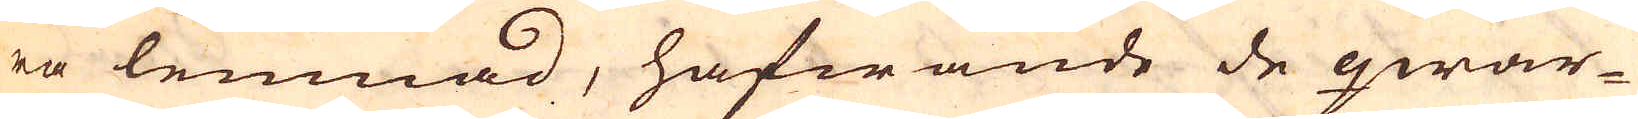ra lemnad, hafwande de qwar-
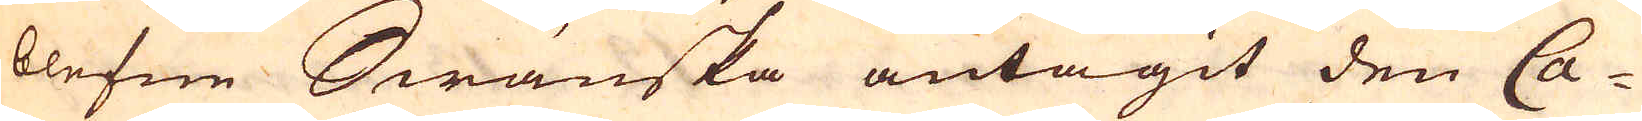blefne Swänska antagit den Ca-
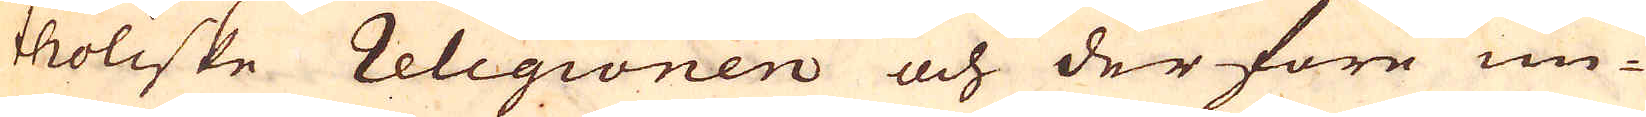toliske Religionen och derföre un-
